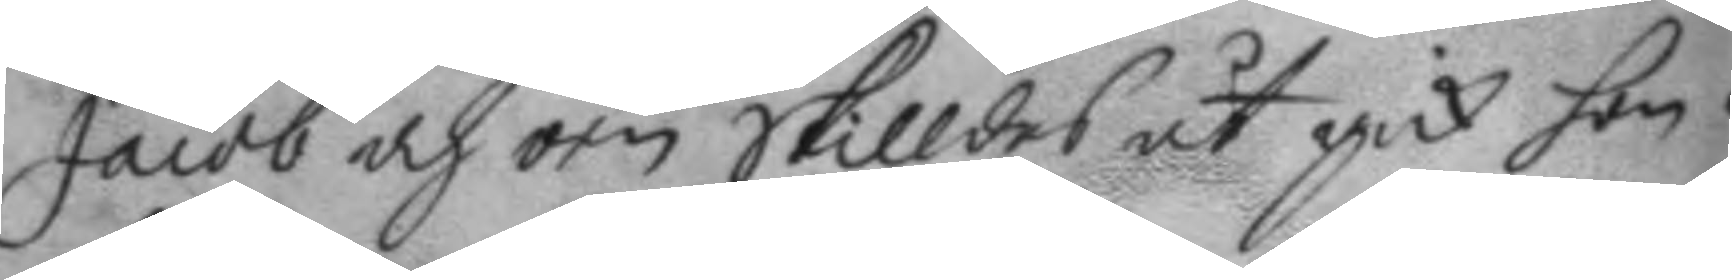Jacob och örn skilldes åt gick hon i
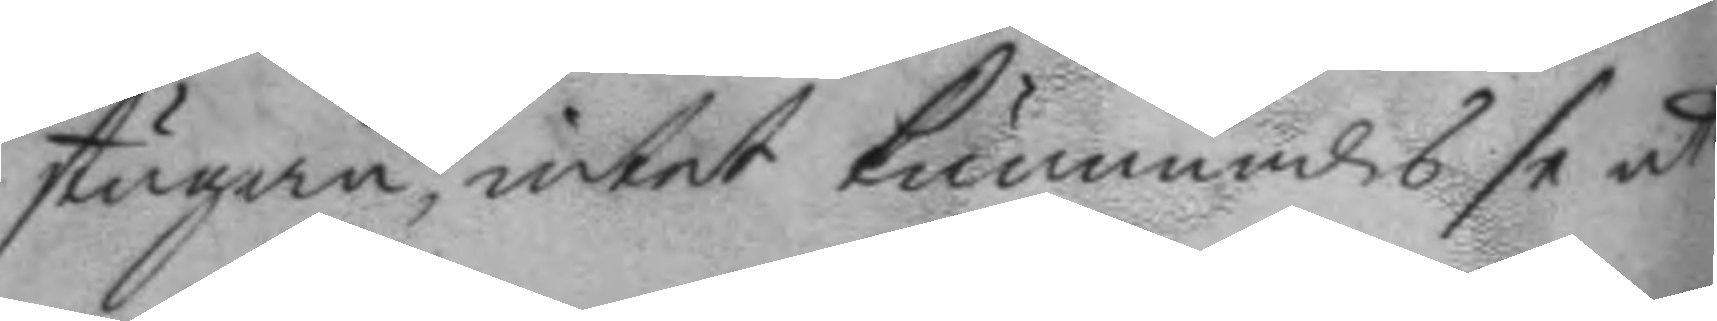stugan, intet kunnandes se ut
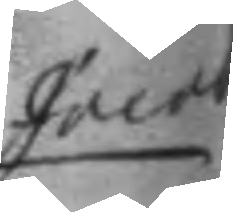Jacob
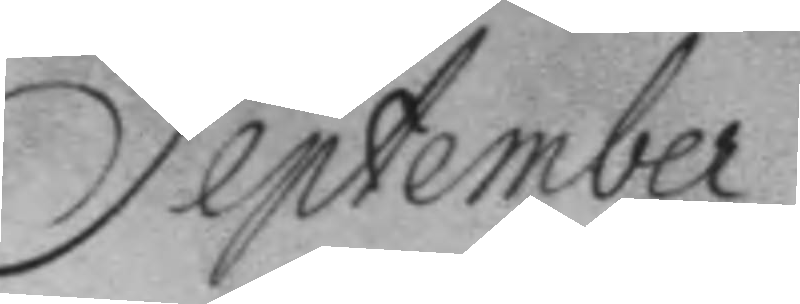September
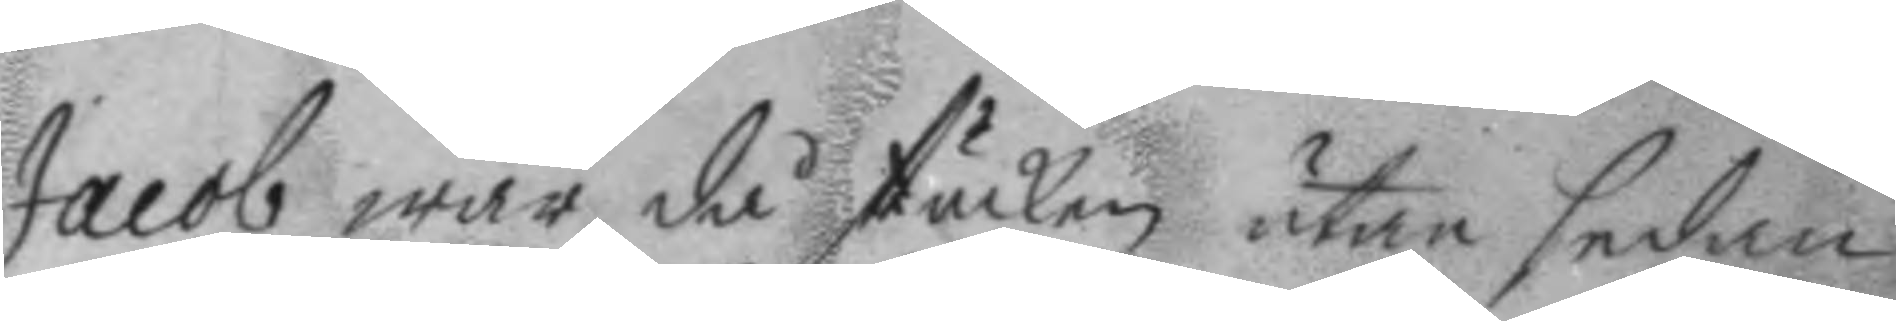Jacob war då stucken utan sedan
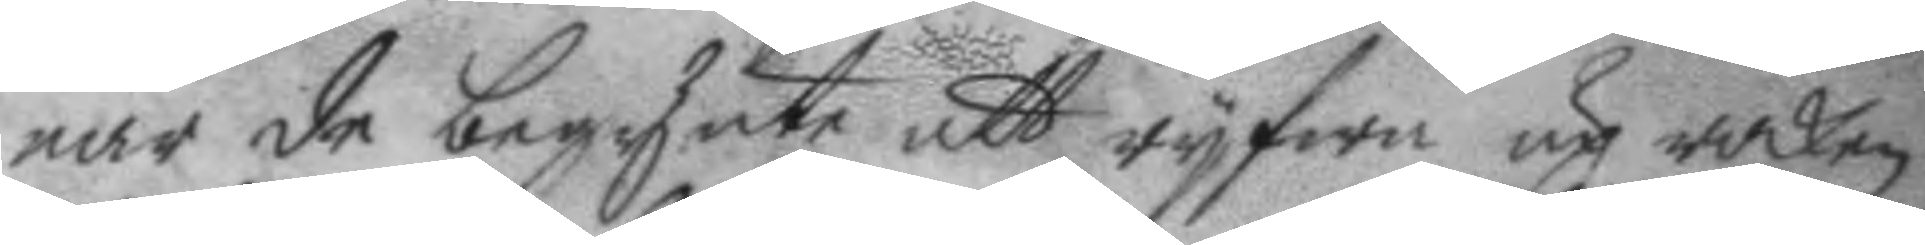när de begynte att ryfwa up rocken
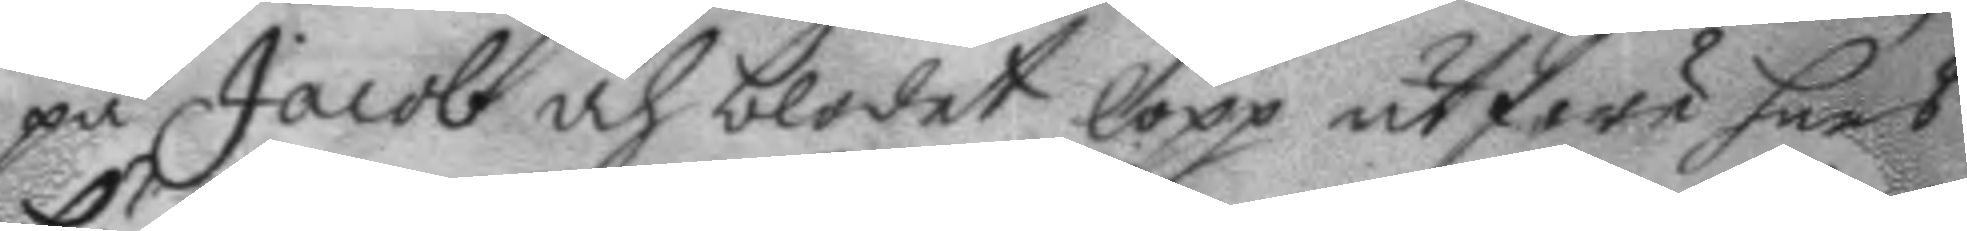på Jacob och blodet lopp utföre hans
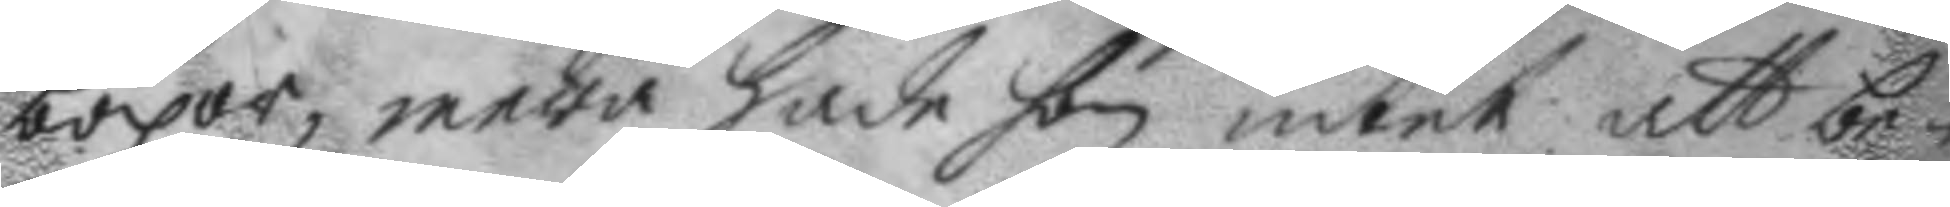böxor, mera hade hon intet att be¬
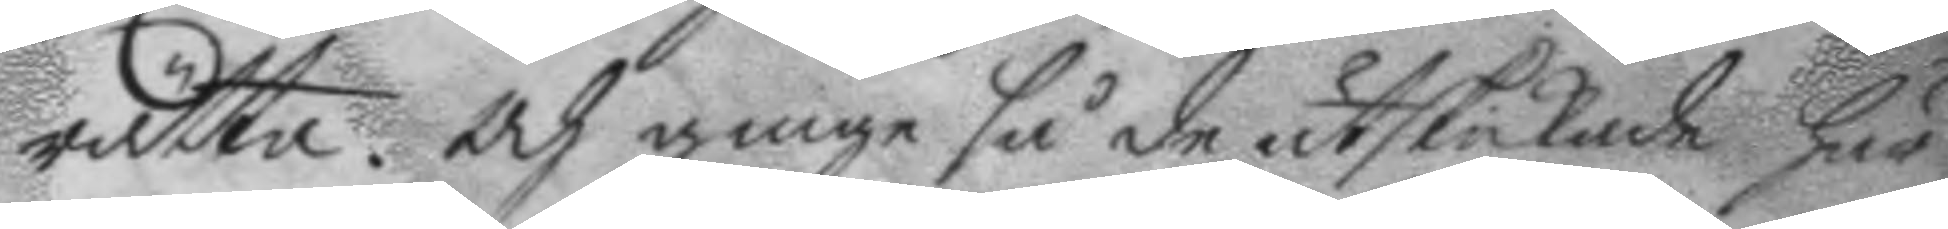rätta. och ginge så de utskickade här
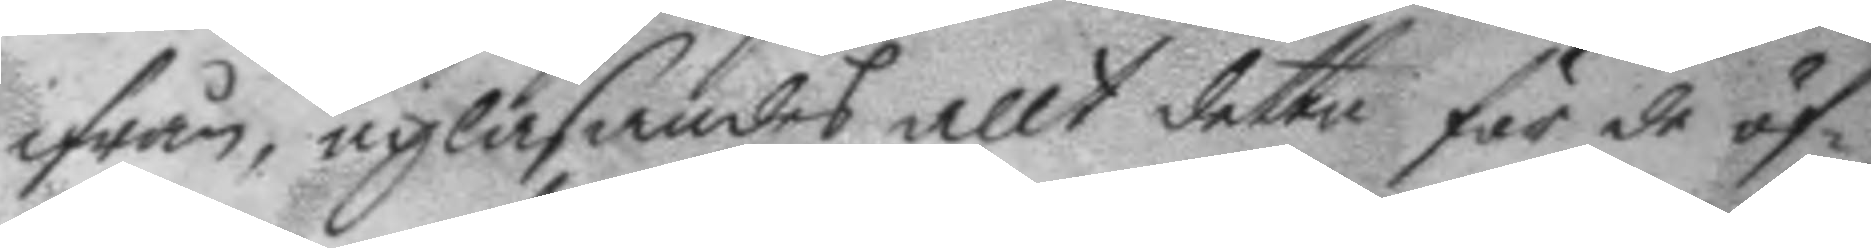ifrån, upläsandes allt detta för de öf¬
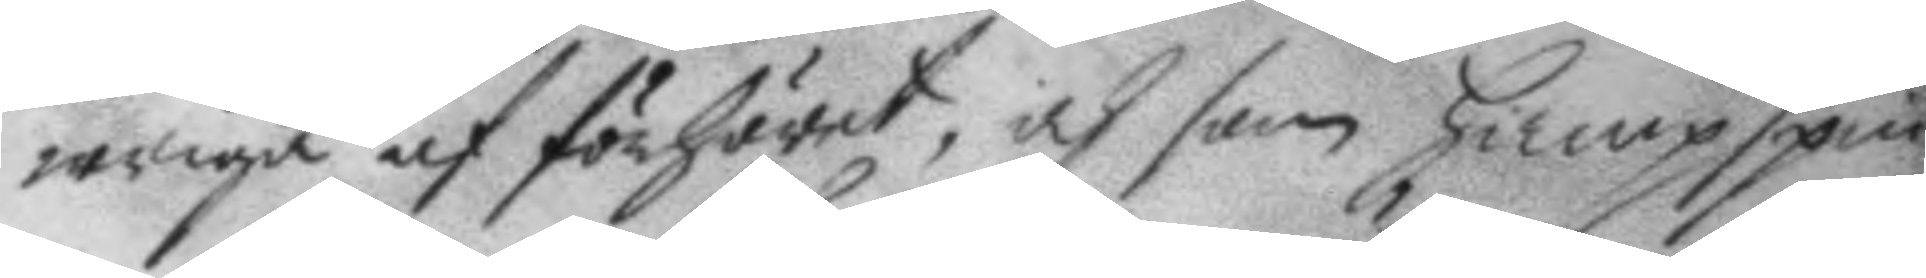wriga af förhöret, och som hampspin¬
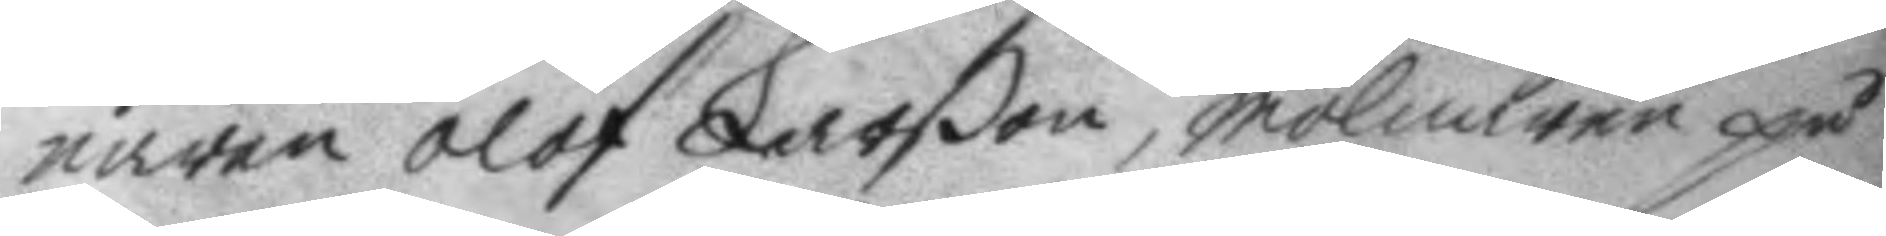naren Olof Larßon, mölnaren på
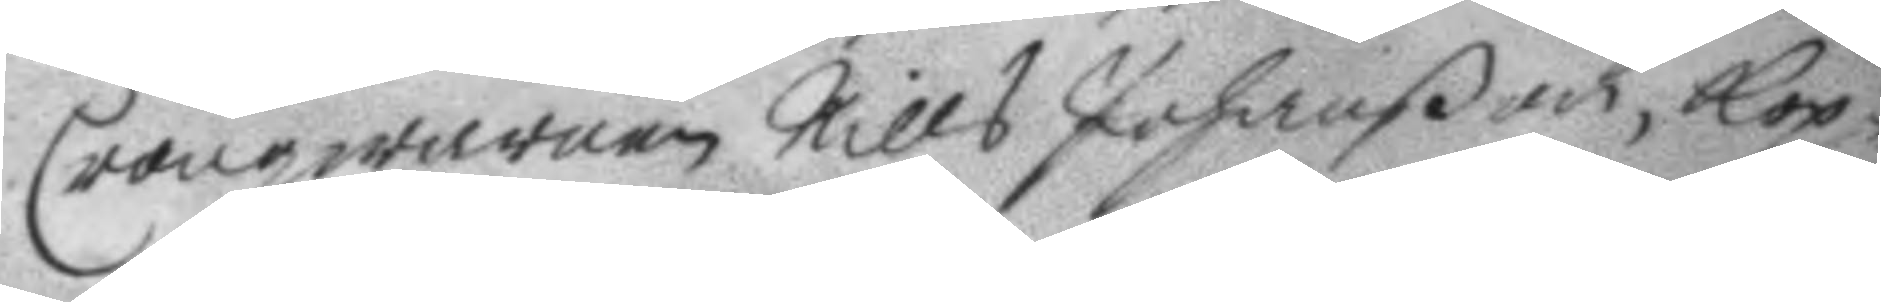Cronoqwarnen Nills Johanßon, kop¬
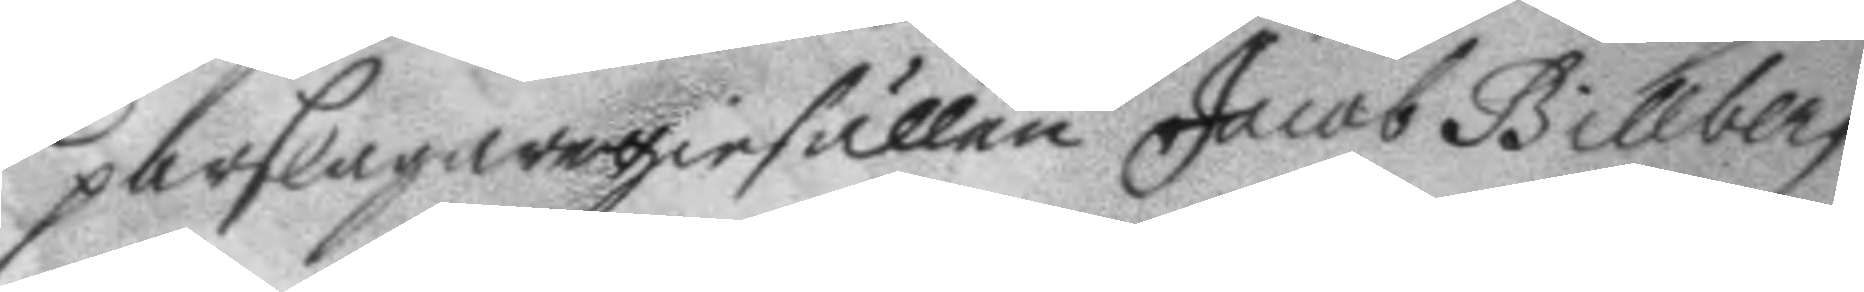parslagaregiesällen jacob Billberg,
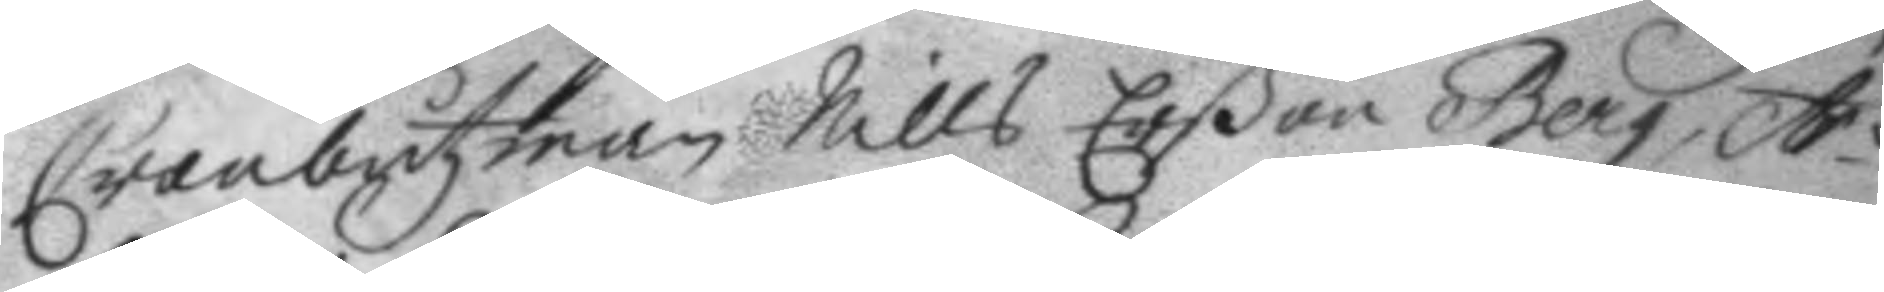Cronobåtzman Nills Erßon Berg, Ar¬
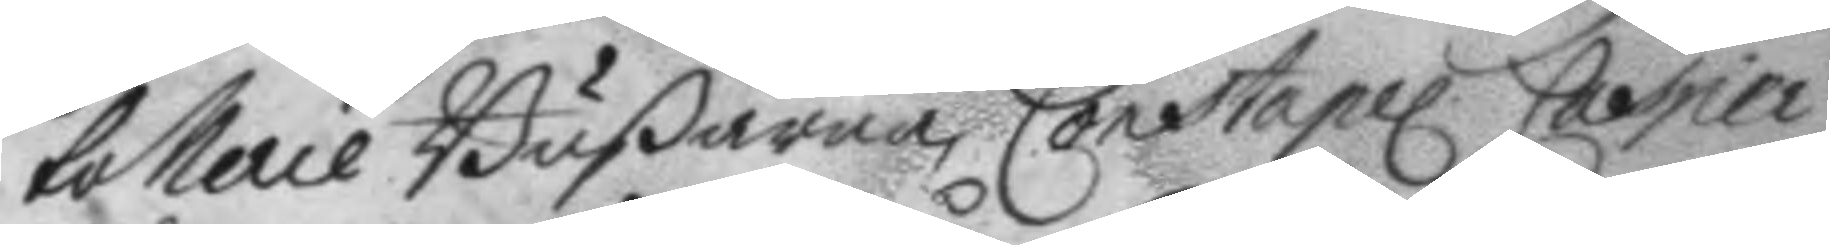tollerie Bußarna Constapel Casper
